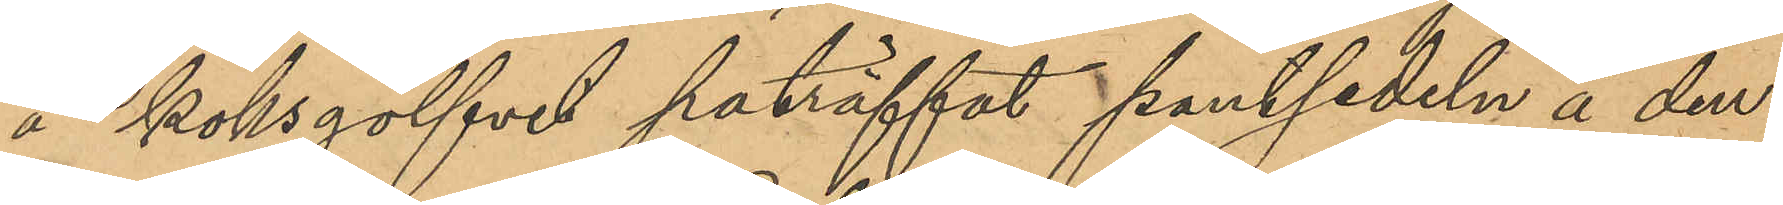å köksgolfvet paträffat pantsedeln å den
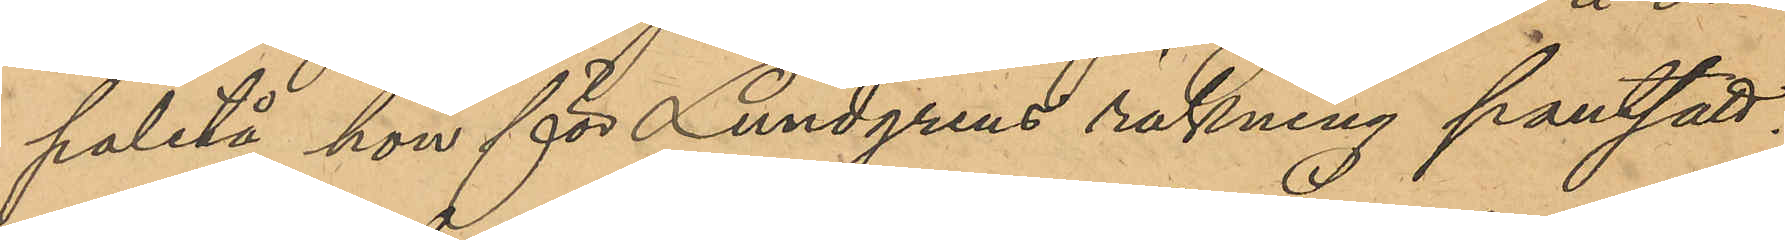paletå hon för Lundgrens räkning pantsatt,
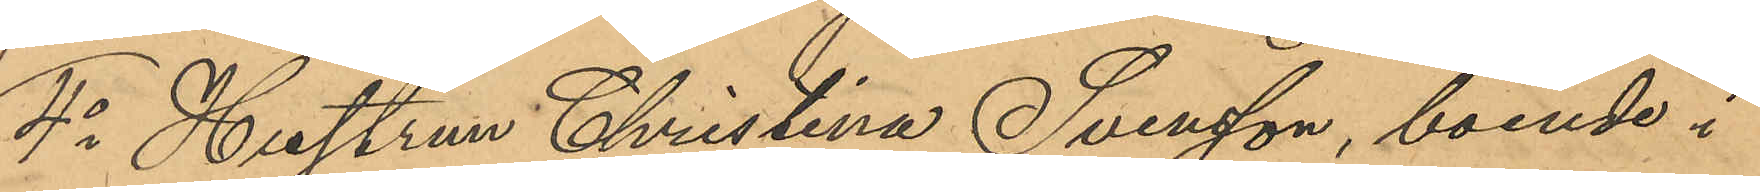4o Hustrun Christina Svensson, boende i
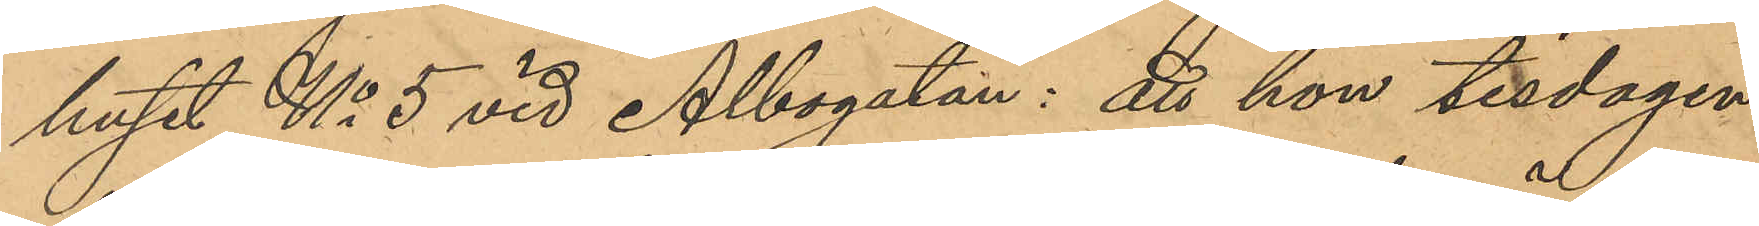huset No 5 vid Albogatan: att hon tisdagen
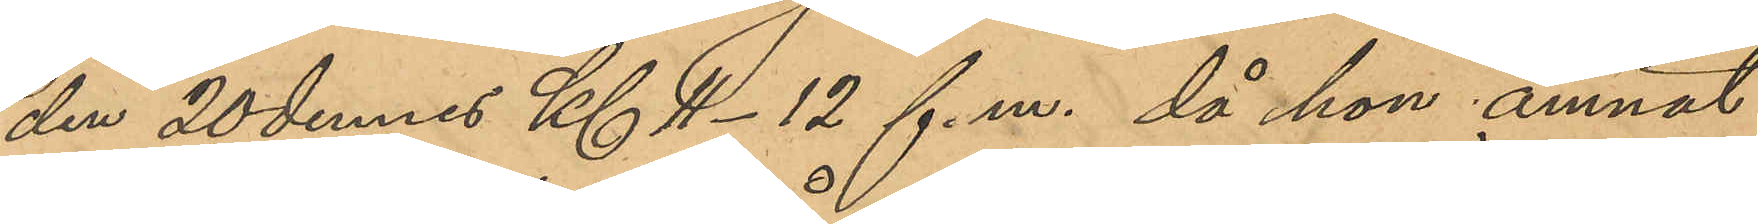den 20 dennes Kl 12 f. m. då hon ämnat
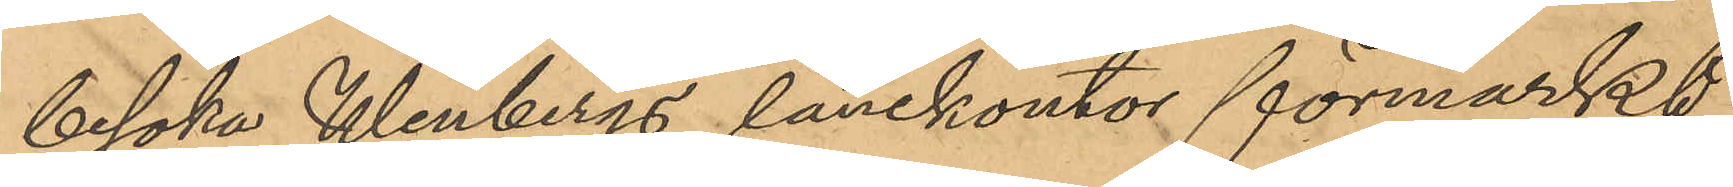besöka Winbergs lånekontor förmärkt
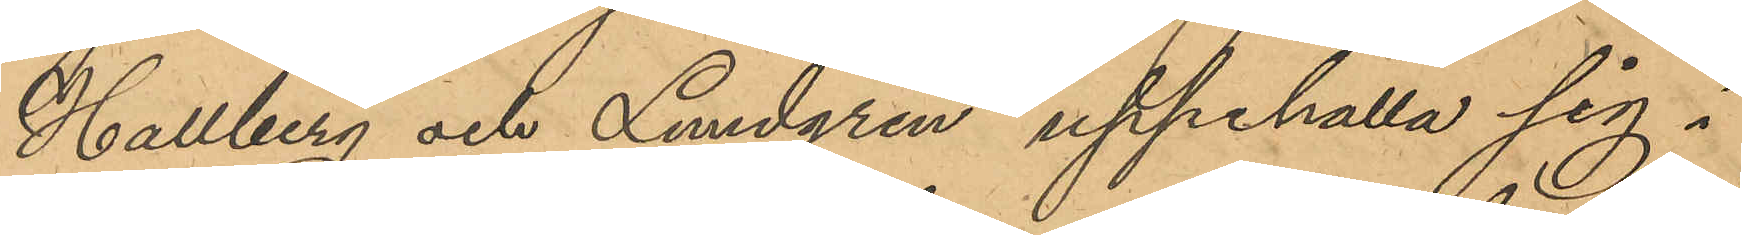Hallberg och Lundgren uppehålla sig i
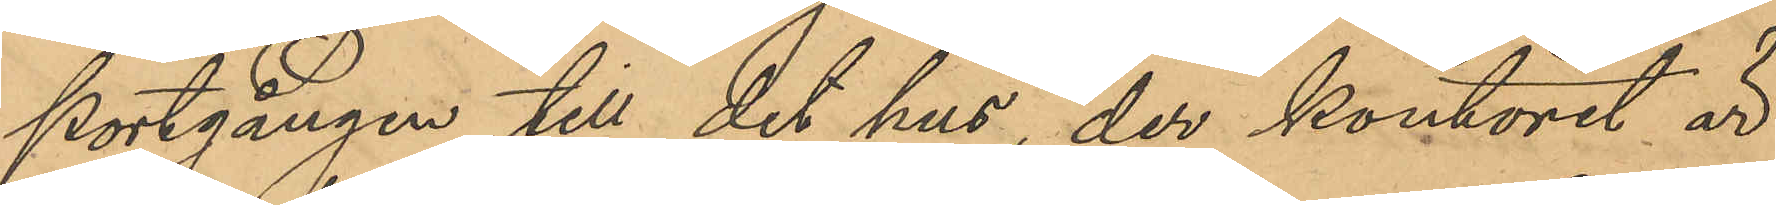portgången till det hus der kontoret är
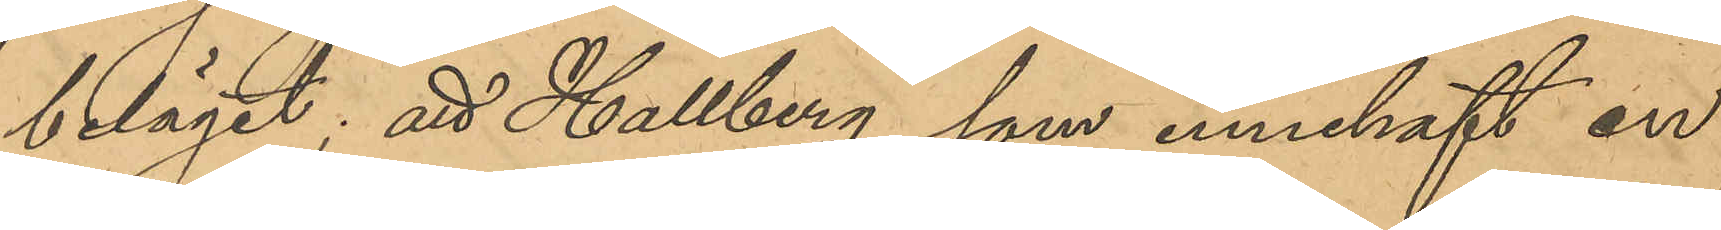beläget; att Hallberg, som innehaft en
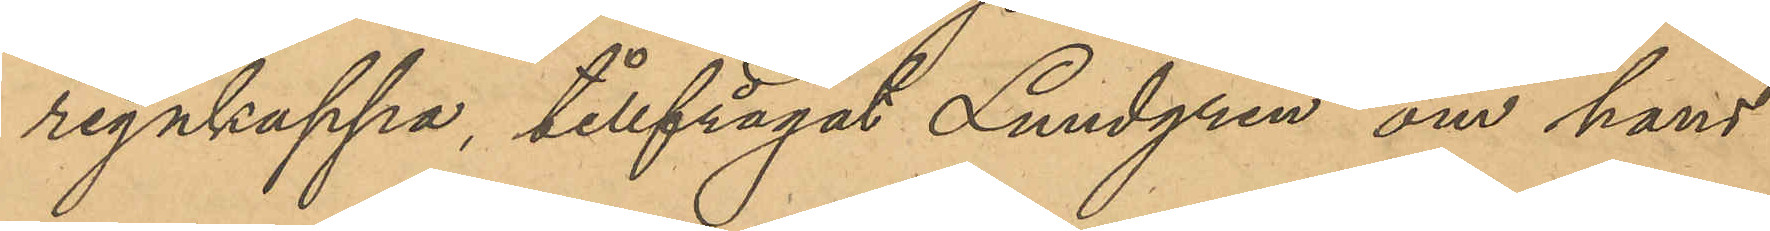regnkappa tillfrågat Lundgren om hans
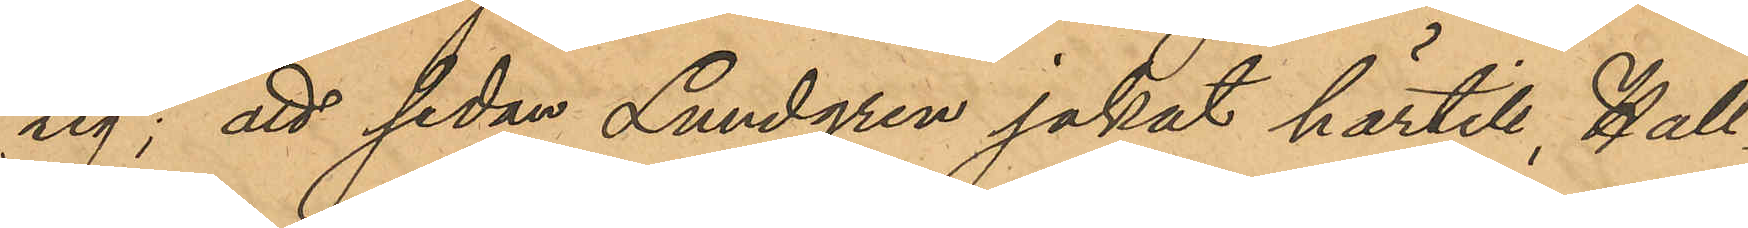tig; att sedan Lundgren jakat härtill, Hall¬
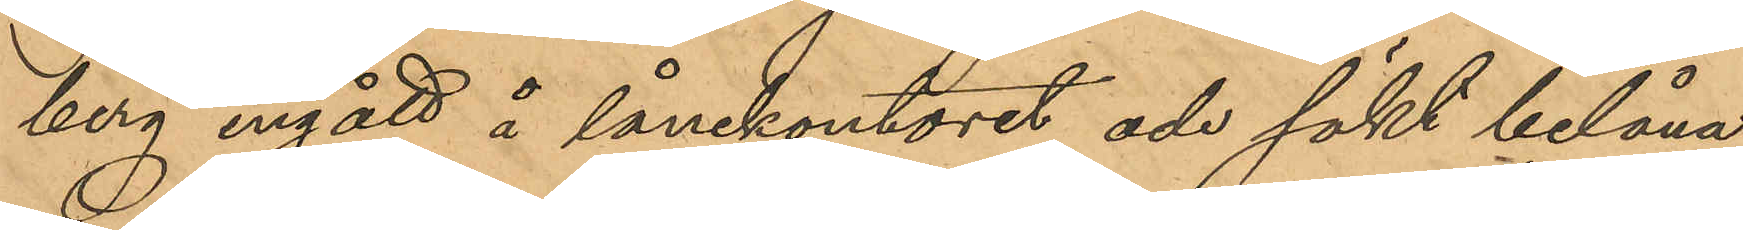berg ingått å lånekontoret och sökt belåna
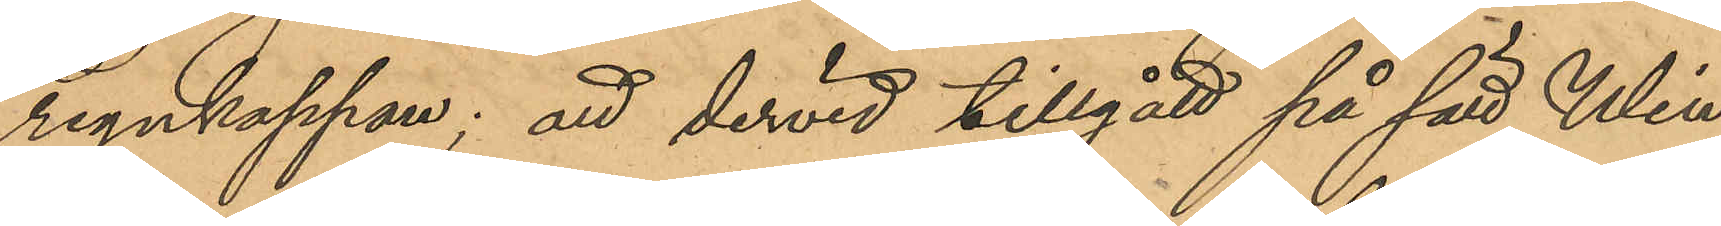regnkappan; att dervid tillgått på sätt Win¬
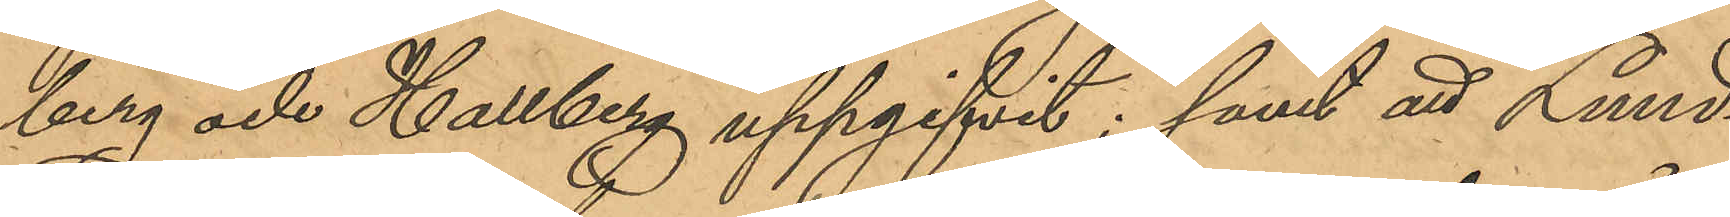berg och Hallberg uppgifvit; samt att Lund¬
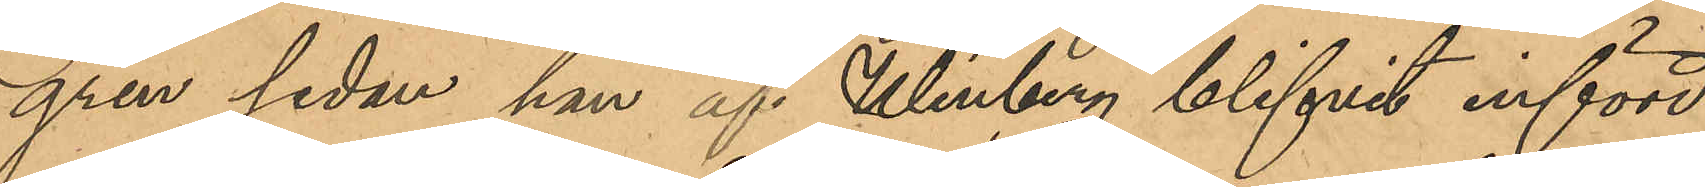gren sedan han af Winberg blifvit införd
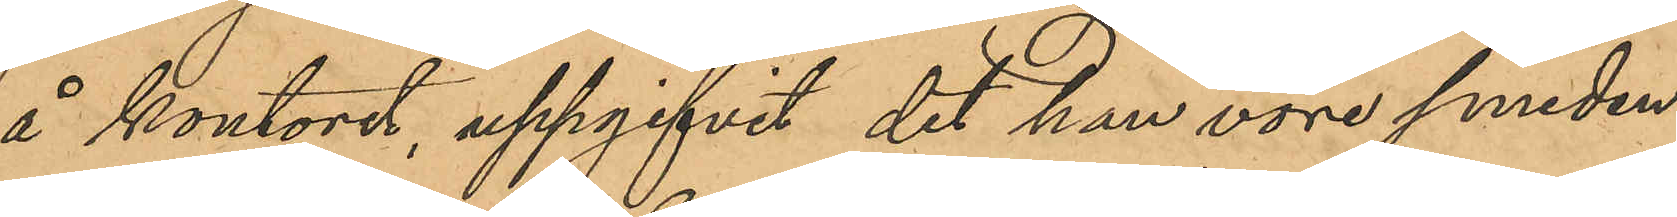å kontoret, uppgifvit det han vore smeden
